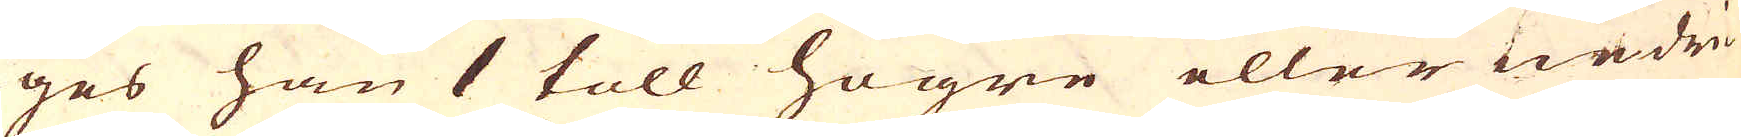ges han 1 toll högre eller nedri-
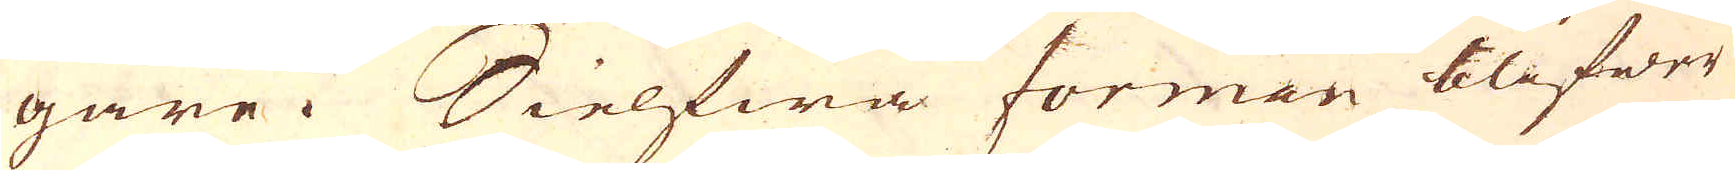gare. Sielfwa forman blifwer
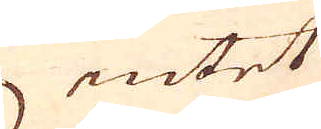intet
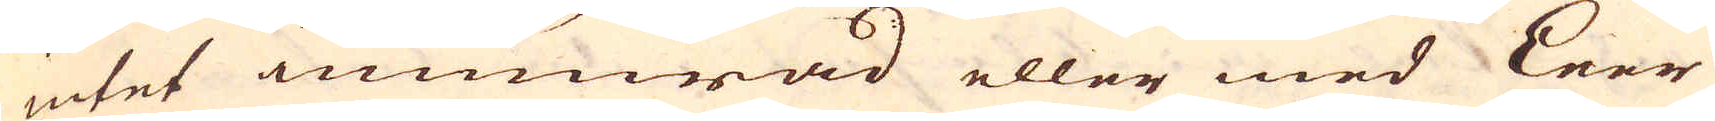intet inmurad eller med Leer
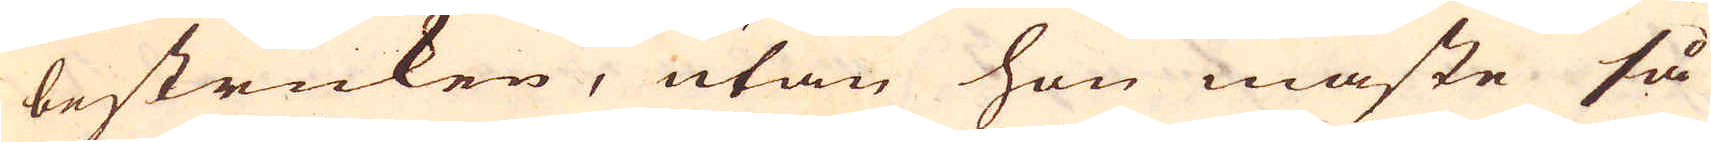bestruken, utan hon måste så
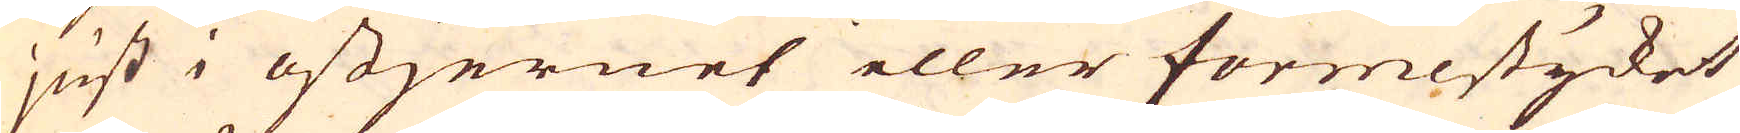just i ostjernet eller formestycket
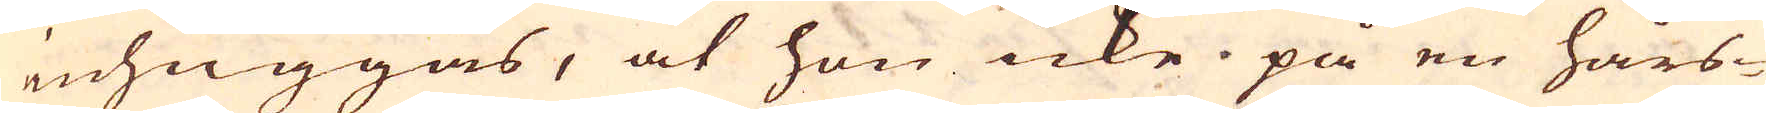inhuggas, at hon icke på en hårs-
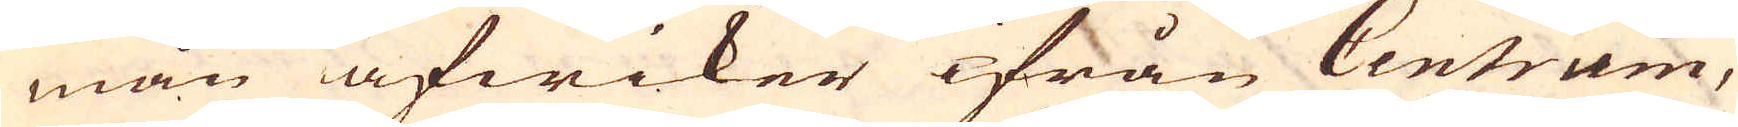mån afwiker ifrån Centrum,
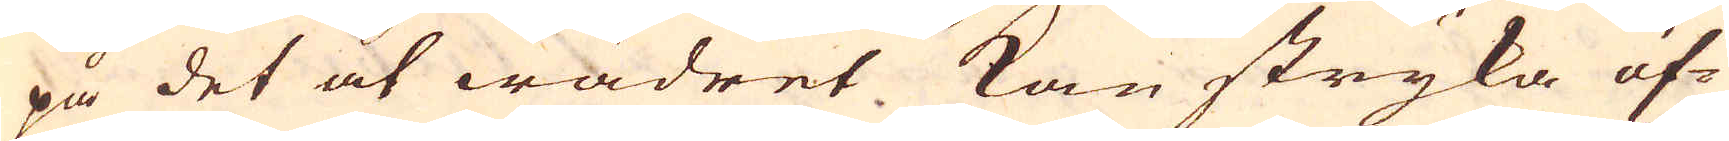på det at wädret kan stryka öf-
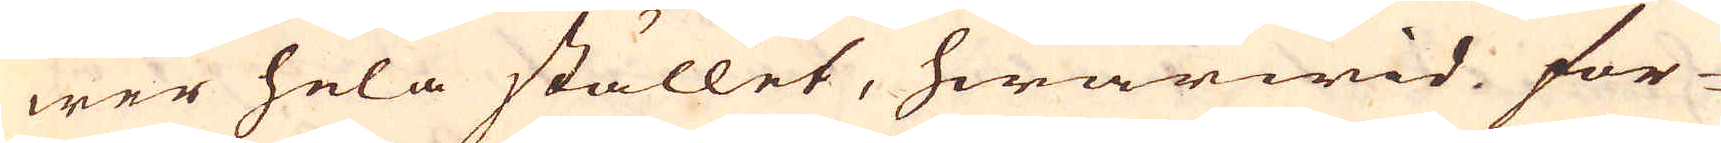wer hela stället, hwarwid for-
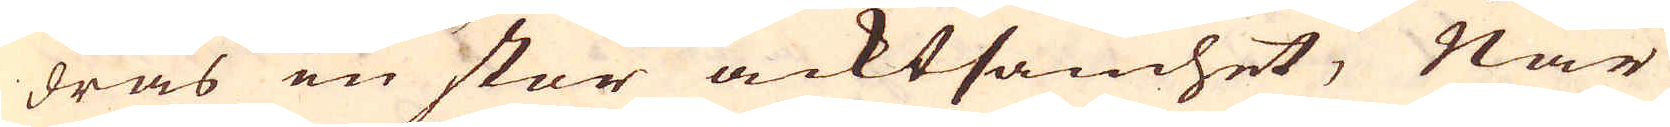dras en stor acktsamhet; När
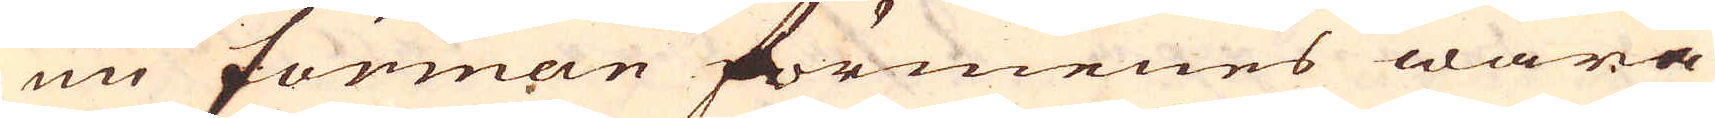nu fomman förmenes wara
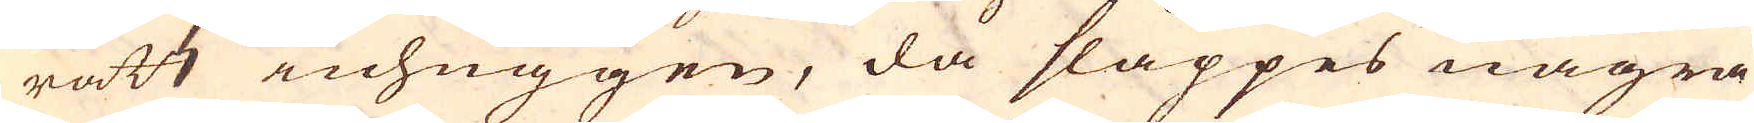rätt inhuggen, då släppes några
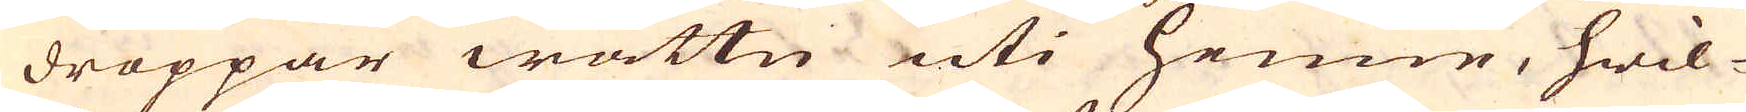droppar wattn uti henne, hwil-
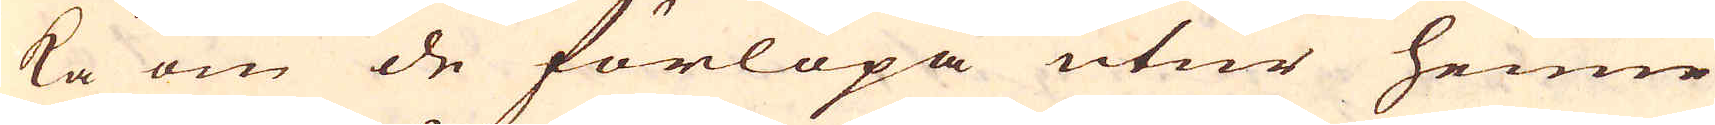ka om de förlöpa utur henne
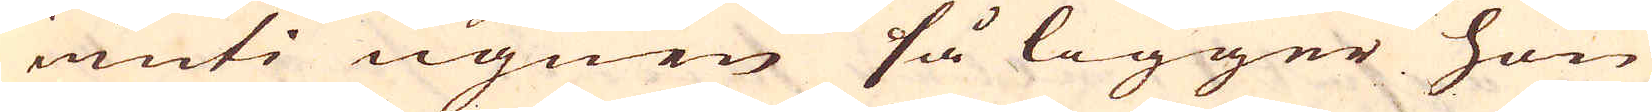inuti ugnen så ligger hon
